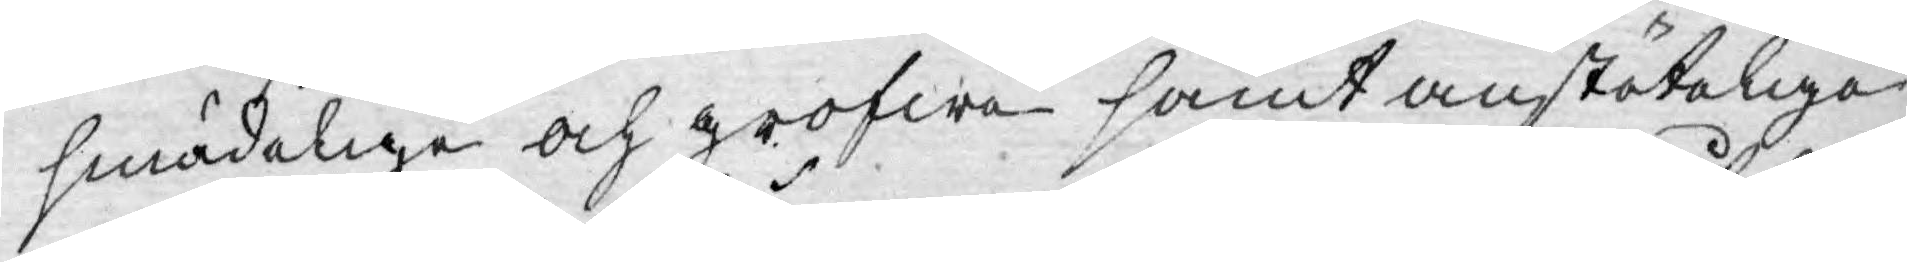smädelige och grofwa samt anstöteliga
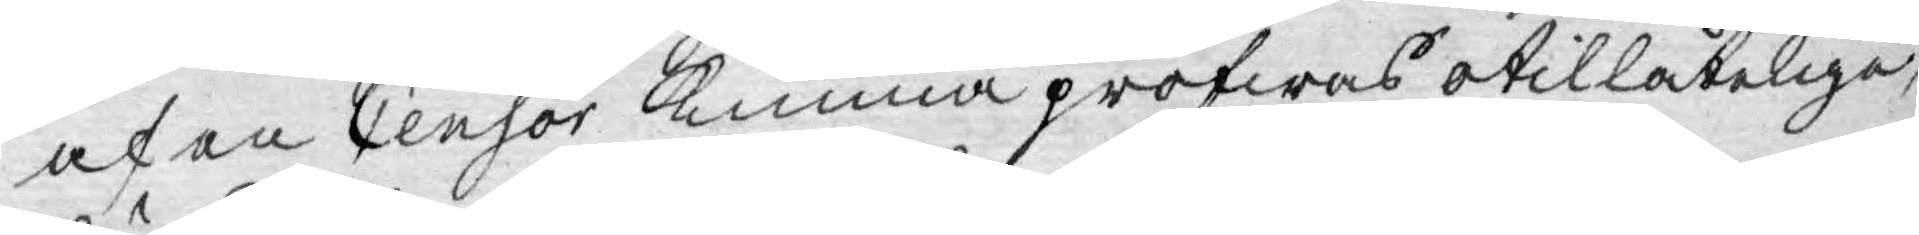af en Censor kunna pröfwas otillåteliga,
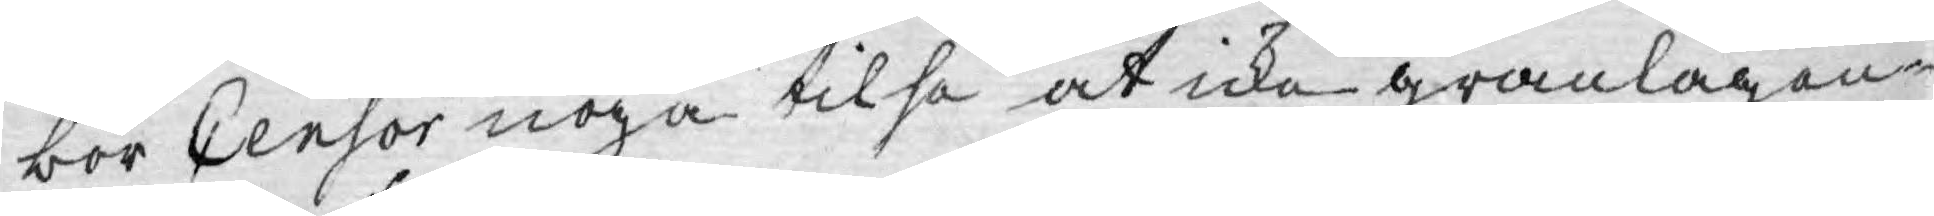bör Censor noga tilse at icke granlagen¬
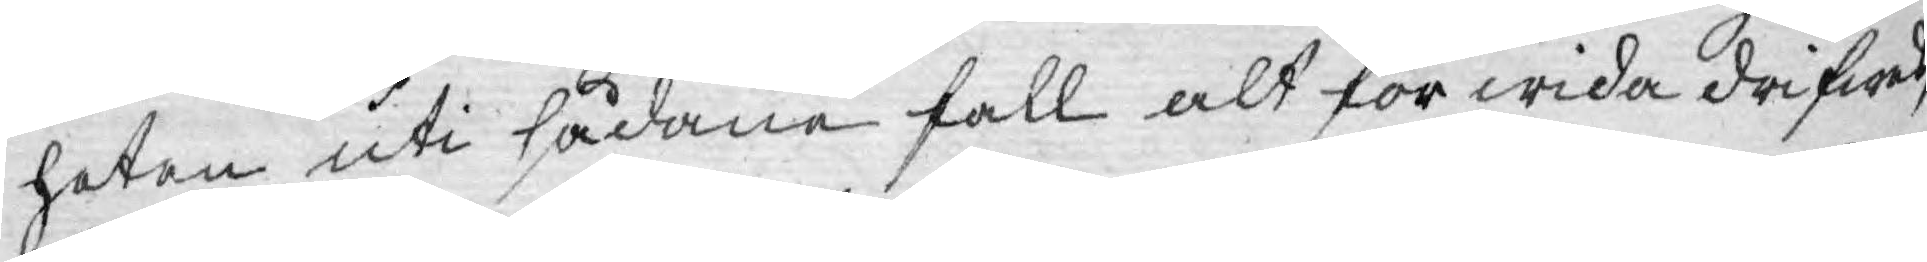heten uti sådane fall alt för wida drifwes,
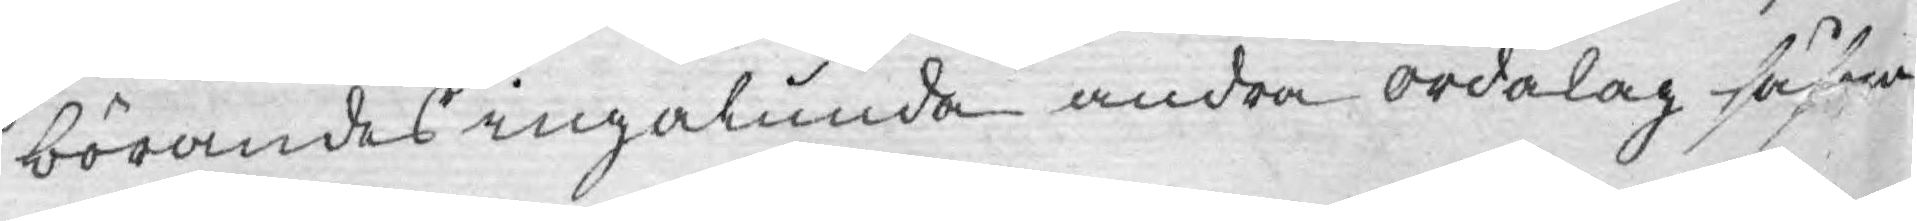börandes ingalunda andra ordalag såsom
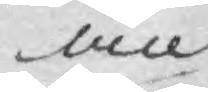an
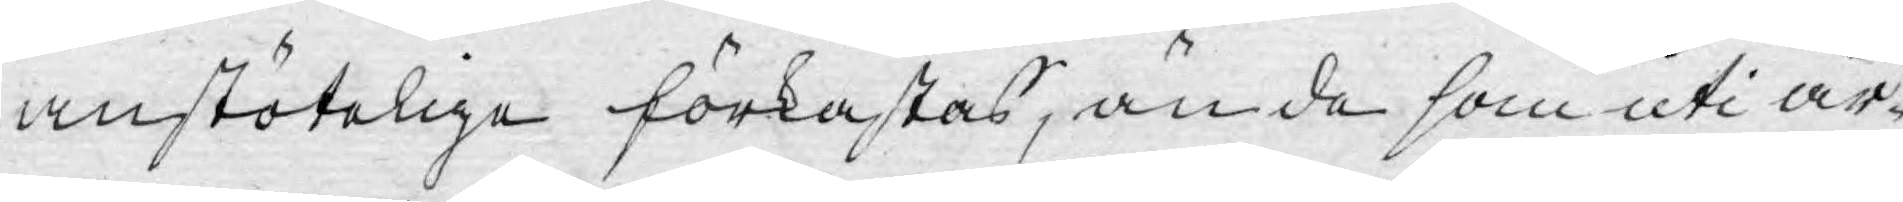anstötelige förkastas, än de som uti är¬
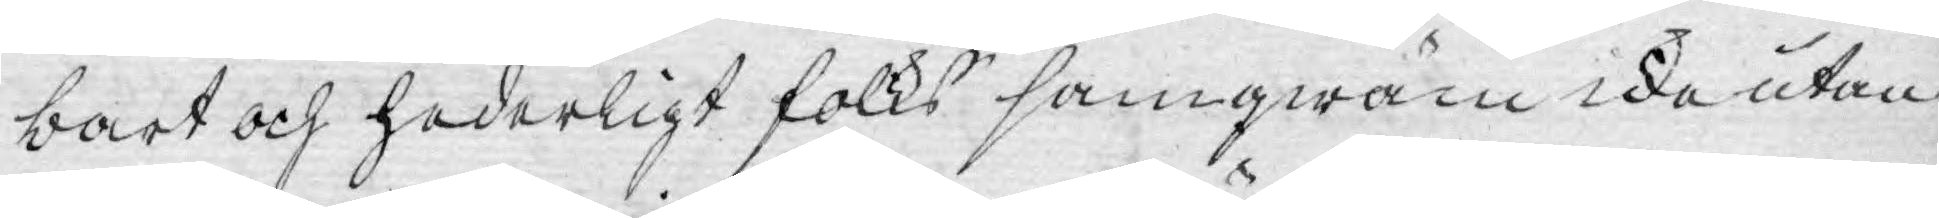bart och hederligt folks samqwäm icke utan
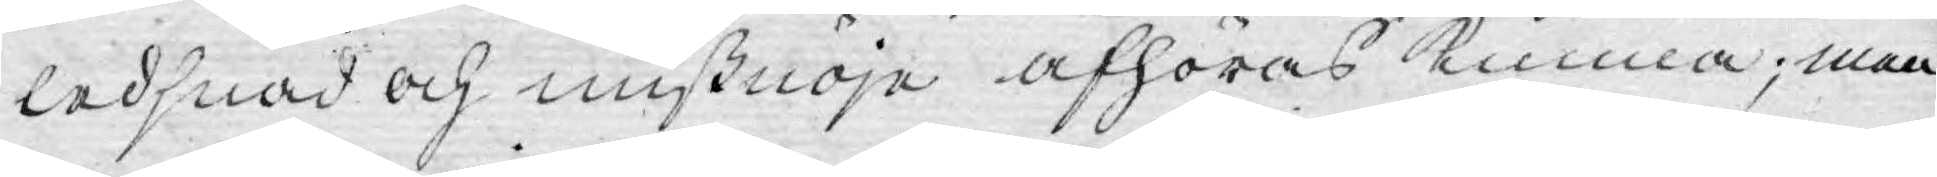ledsnad och mißnöje afhöras kunna; men
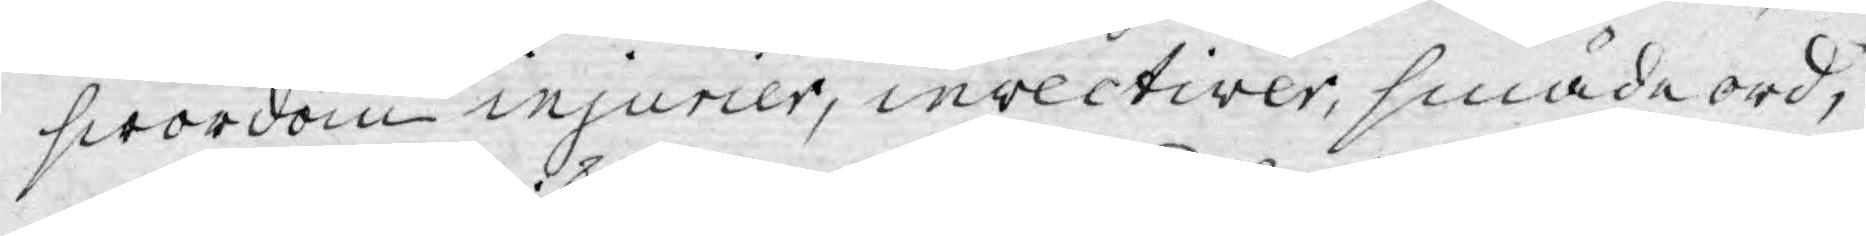swordom injurier, invectiver, smäde ord,
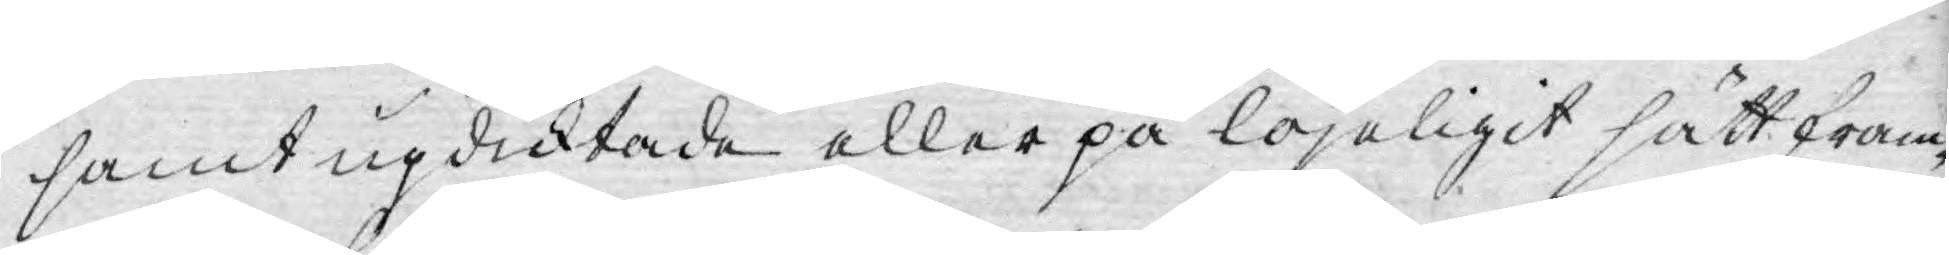samt updicktade eller på lojeligit sätt fram¬
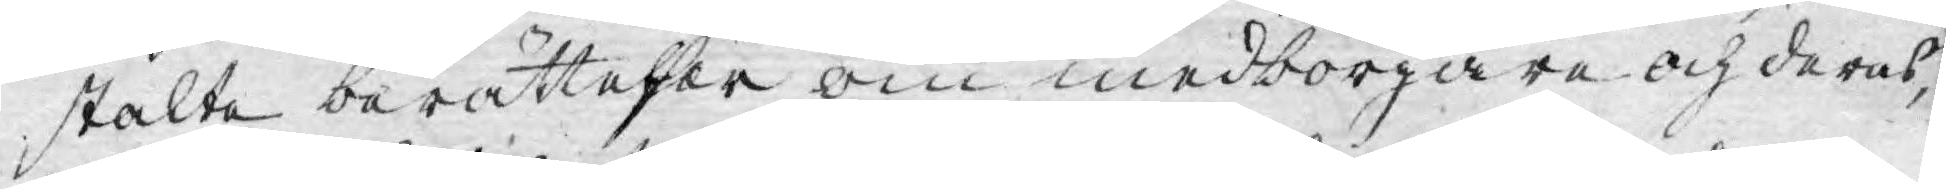stälte berättelser om medborgare och deras,
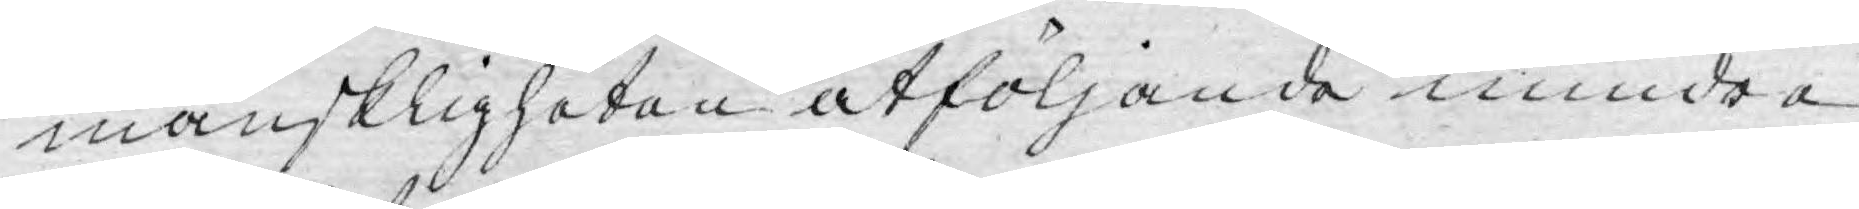mänskligheten åtföljande mindre
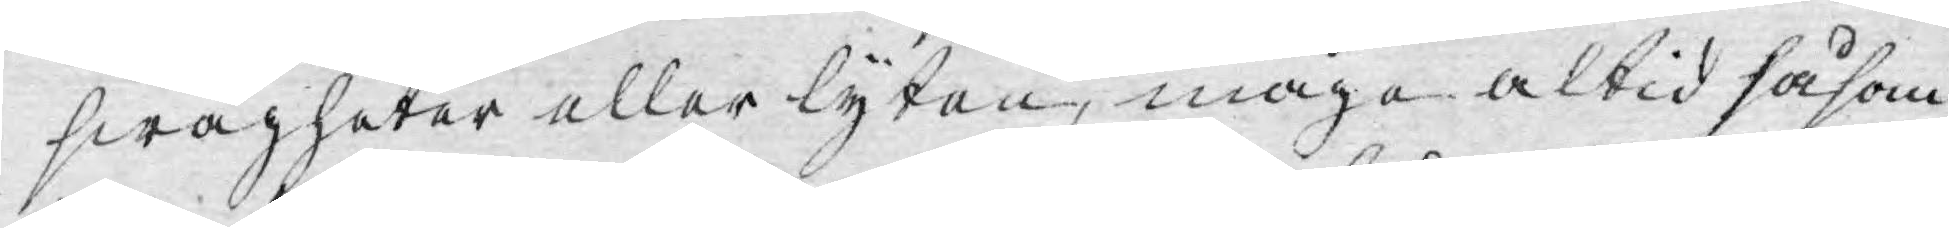swagheter eller lyten, måge altid såsom
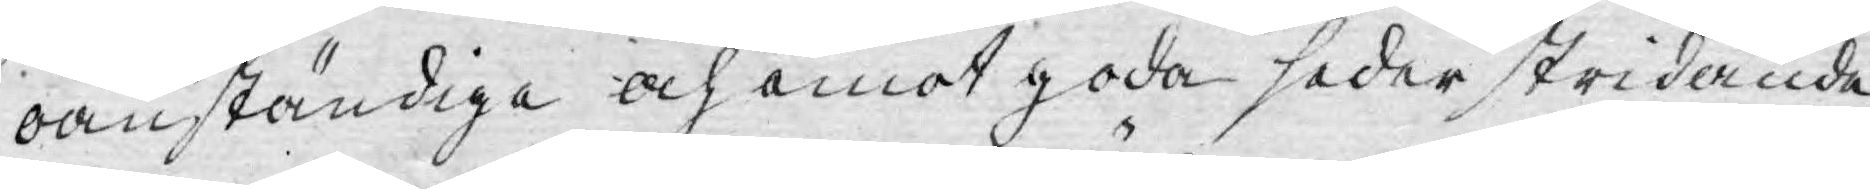oanständiga och emot goda seder stridande
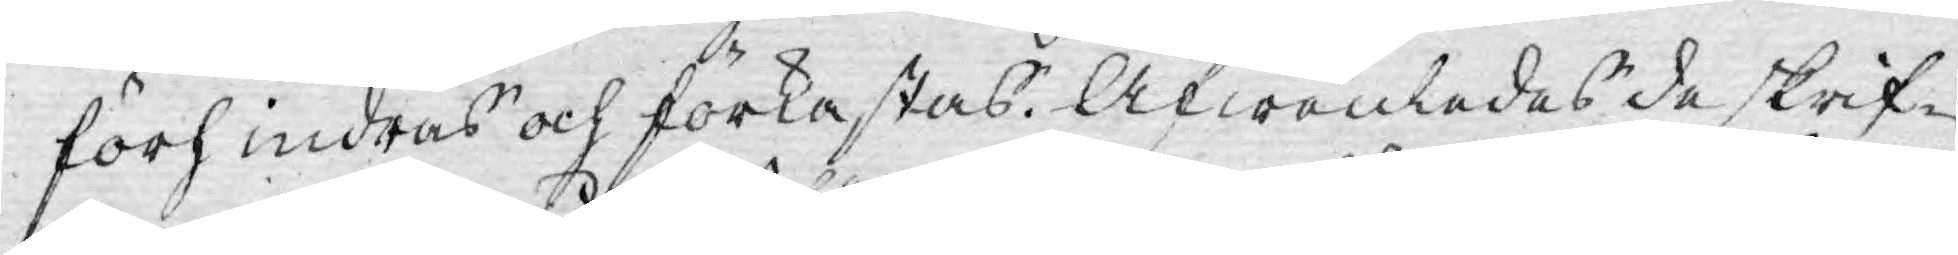förhindras och förkastas. Äfwenledes de skrif¬
